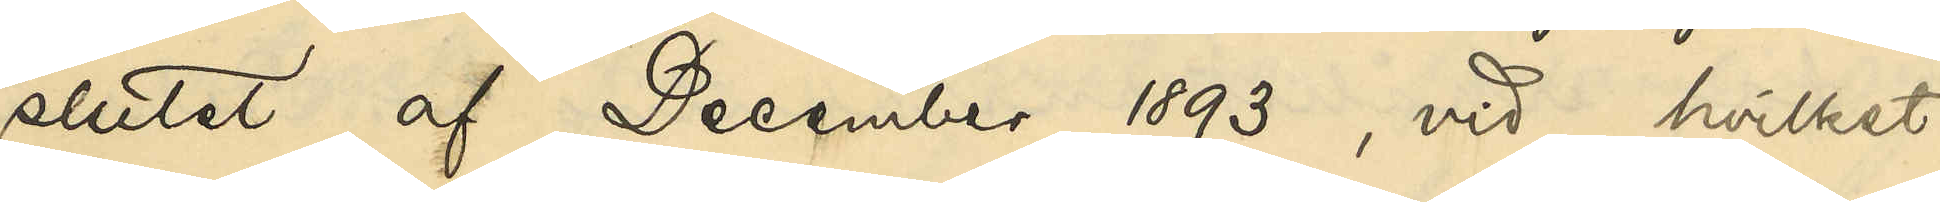slutet af December 1893, vid hvilket
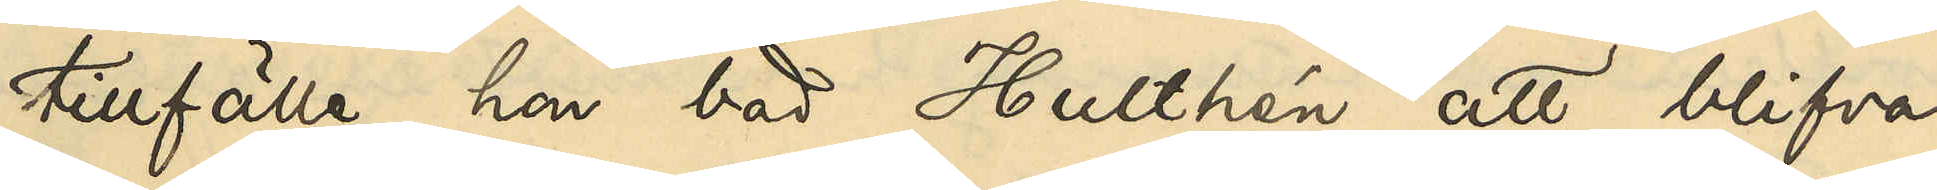tillfälle hon bad Hulthén att blifva
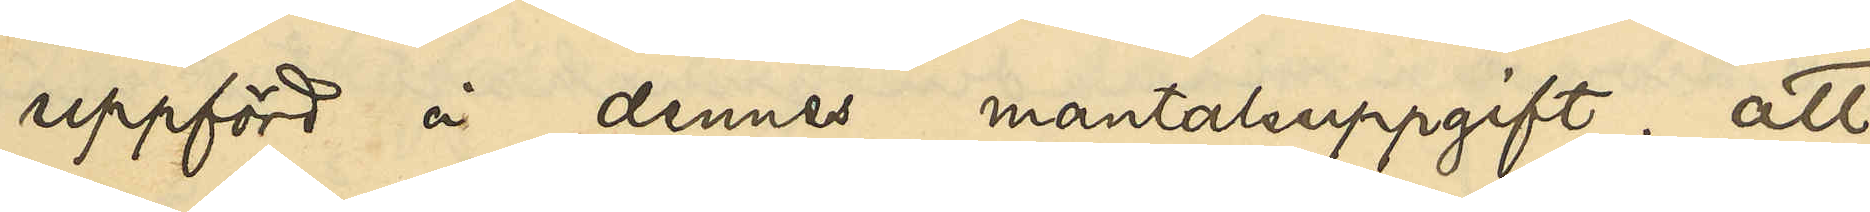uppförd å dennes mantalsuppgift; att
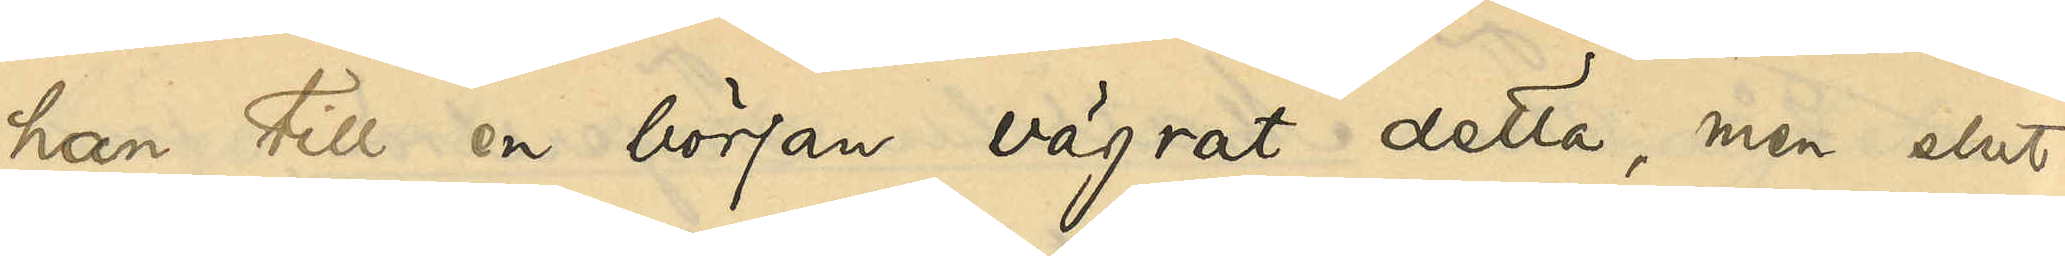han till en början vägrat, men slut¬
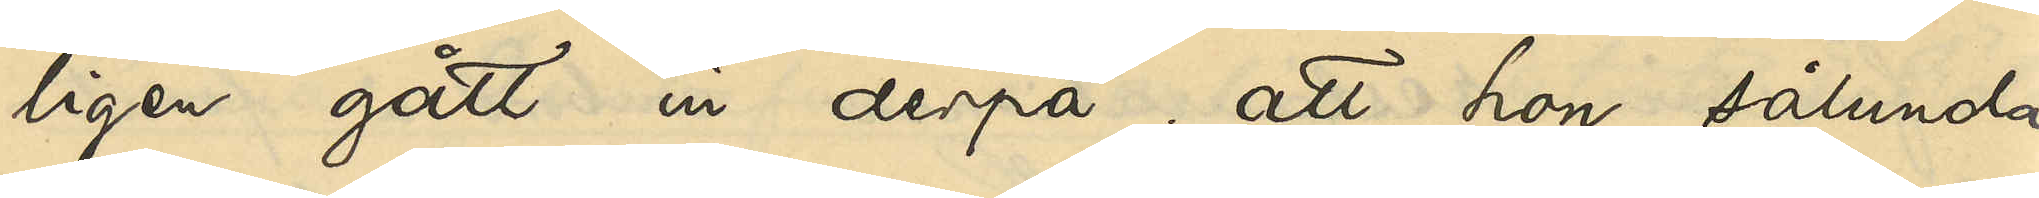ligen gått in derpå; att hon sålunda
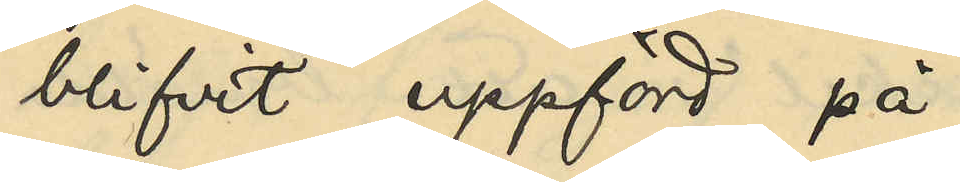blifvit uppförd på
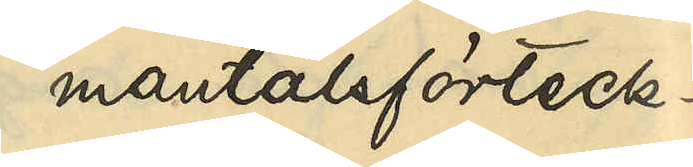mantalsförteck¬
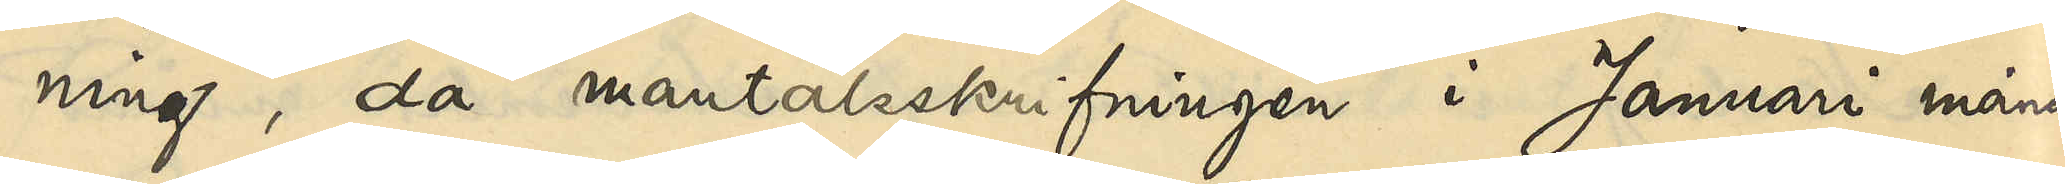ning, då mantalsskrifningen i Januari månad
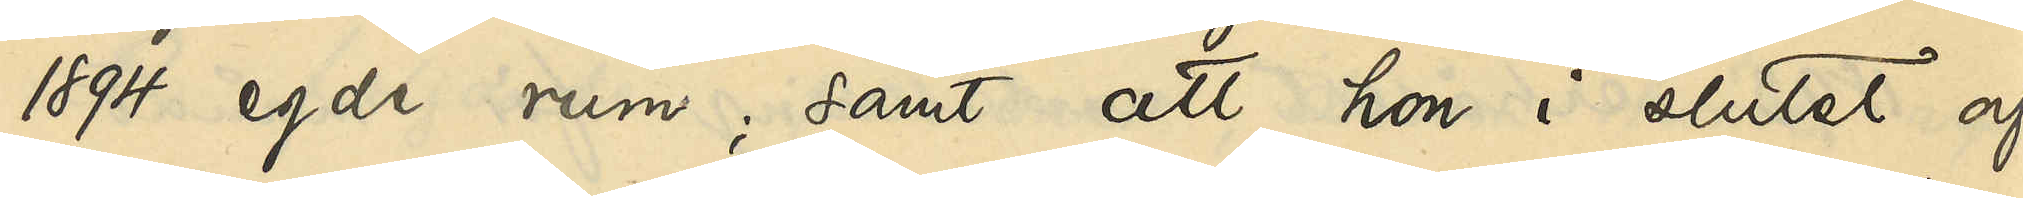1894 egde rum; samt att hon i slutet af
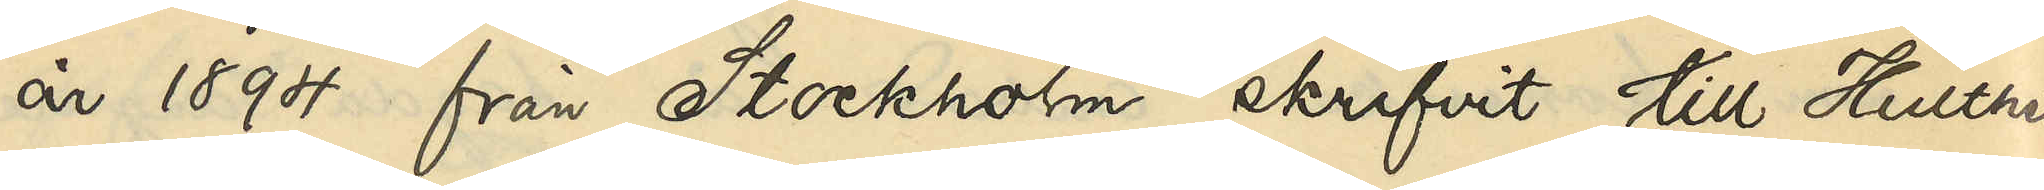år 1894 från Stockholm skrifvit till Hulthén
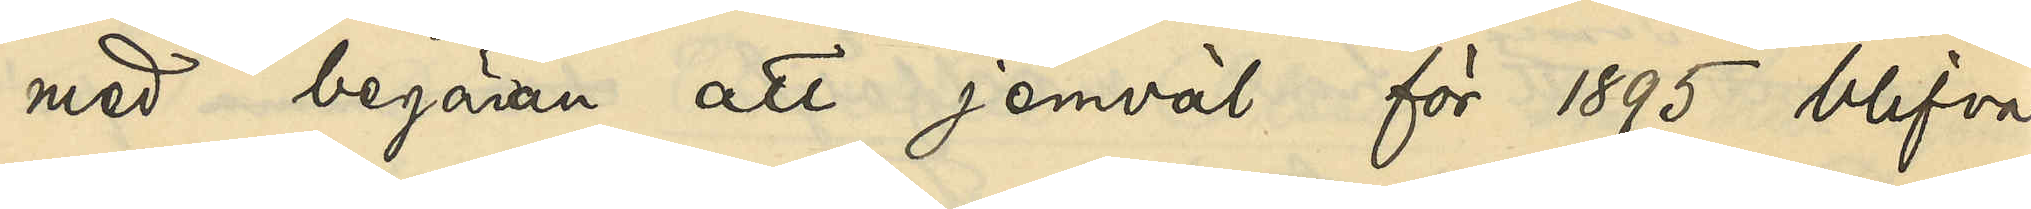med begäran att jemväl för 1895 blifva
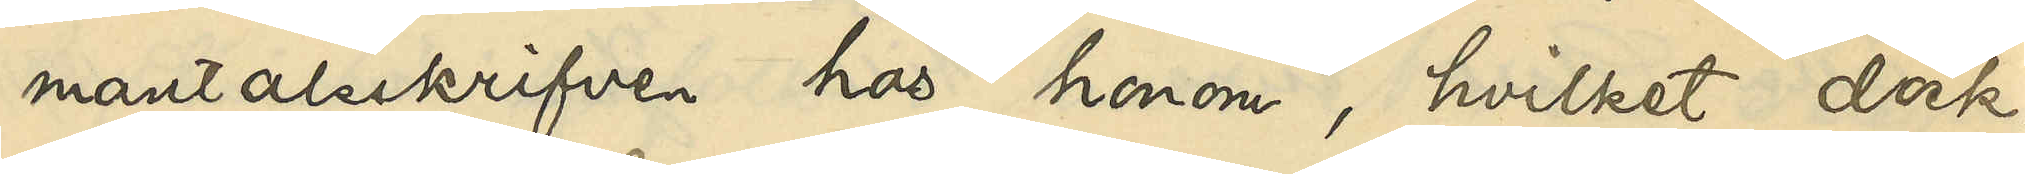mantalsskrifven hos honom, hvilket dock
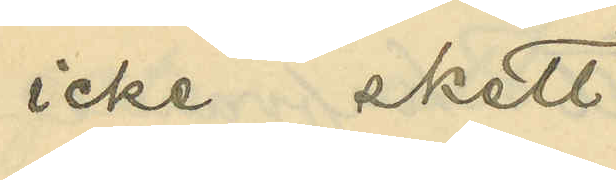icke skett.
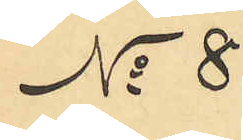No 8
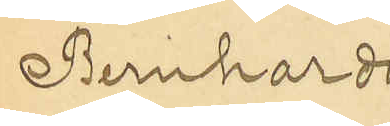Bernhardi¬
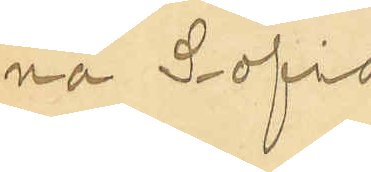na Sofia
